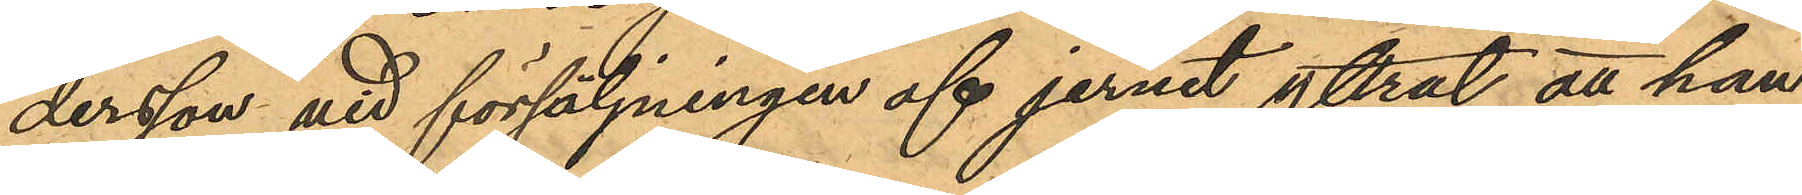dersson vid försäljningen af jernet yttrat att han
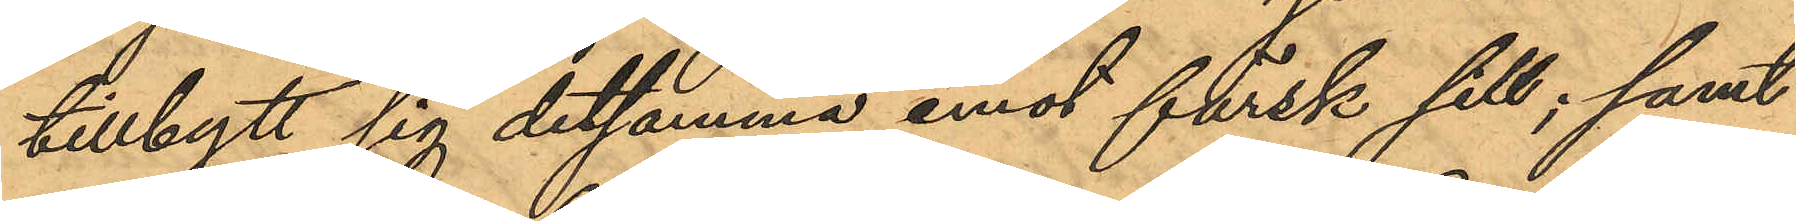tillbytt sig detsamma emot färsk sill; samt
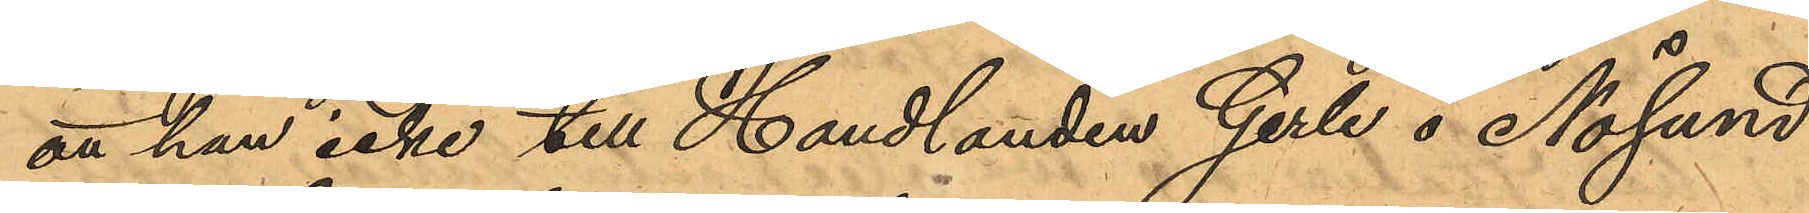att han icke till Handlanden Gerle å Nösund
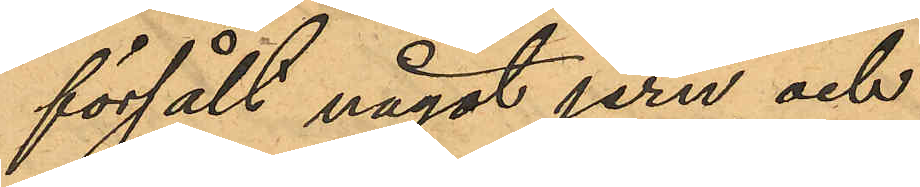försålt något jern, och
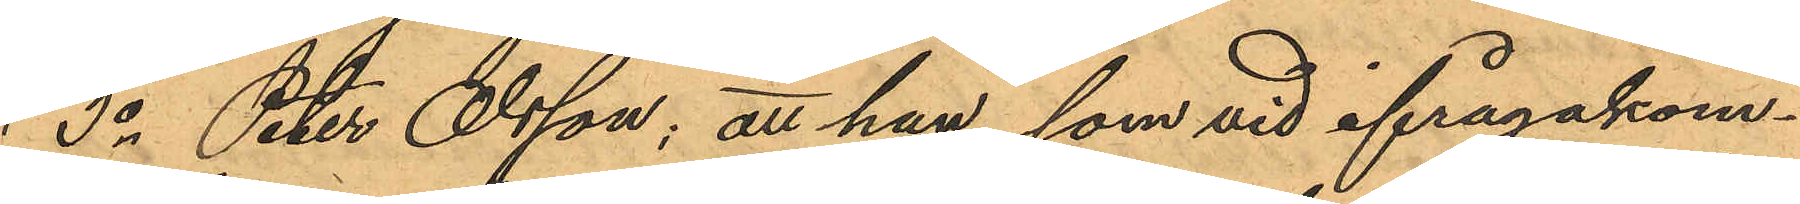3o Peter Olsson: att han, som vid ifrågakom¬
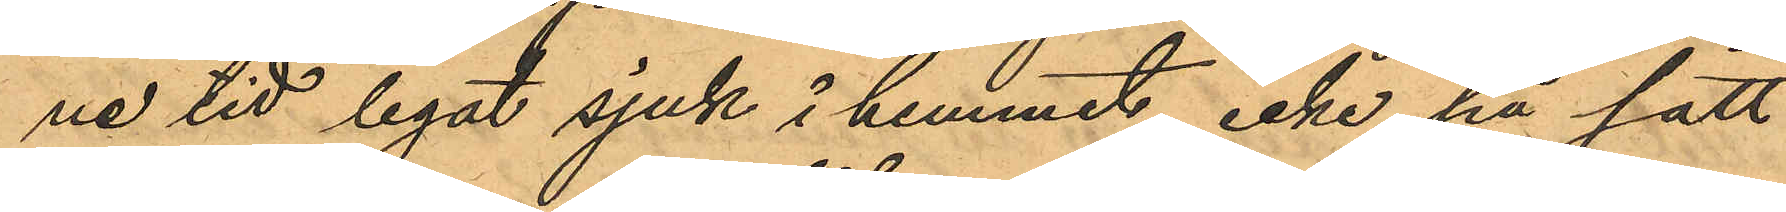ne tid legat sjuk i hemmet, icke, på sätt
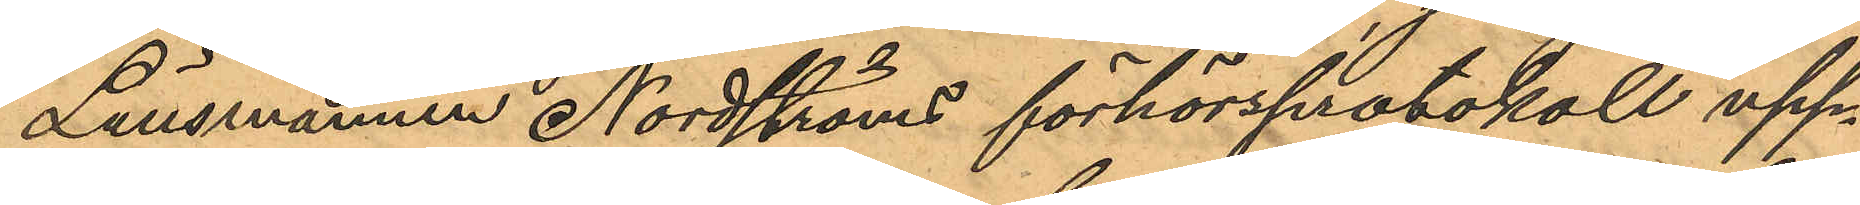Länsmannen Nordströms förhörsprotokoll upp¬
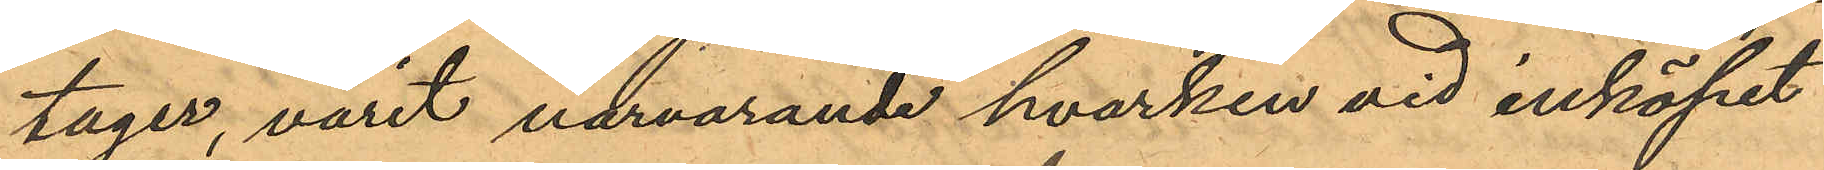tager, varit närvarande hvarken vid inköpet
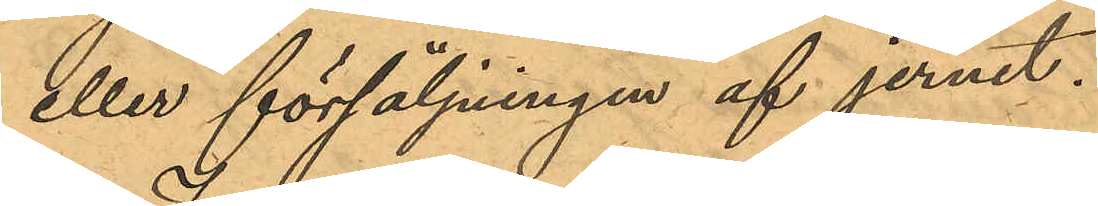eller försäljningen af jernet.
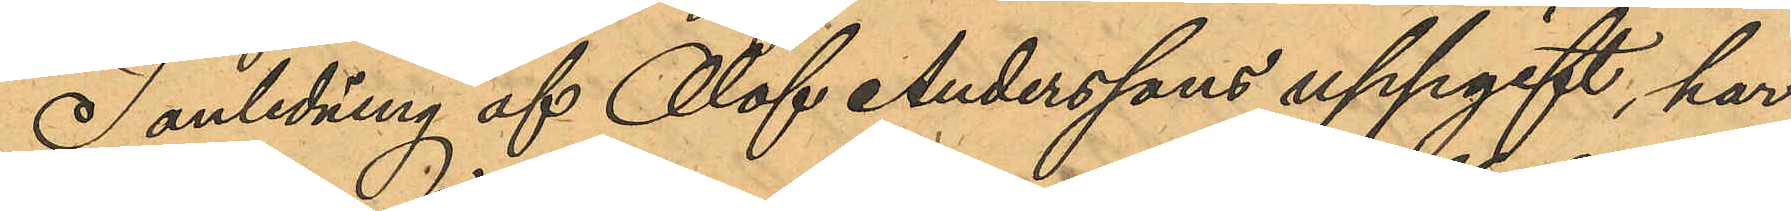I anledning af Olof Anderssons uppgift, har
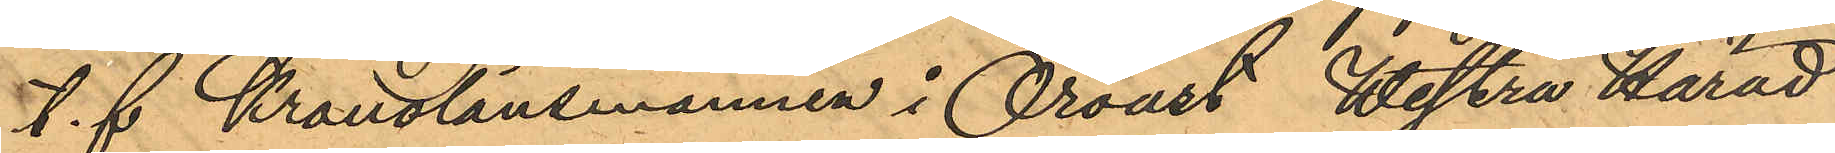t. f Kronolänsmannen i Oroust Westra Härad
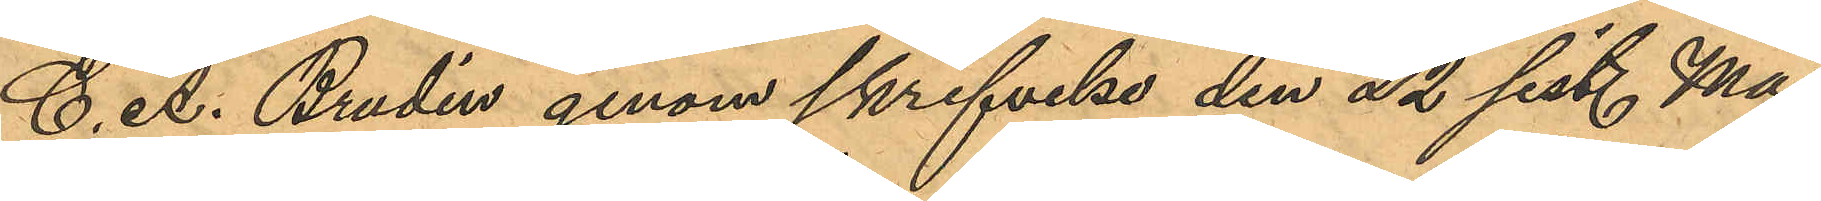C. A. Brudin genom skrifvelse den 22 sist. Maj
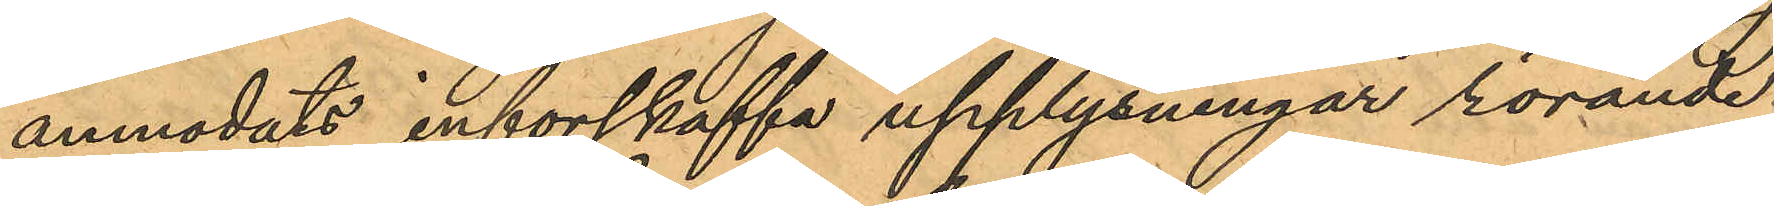anmodats inforskaffa upplysningar rörande
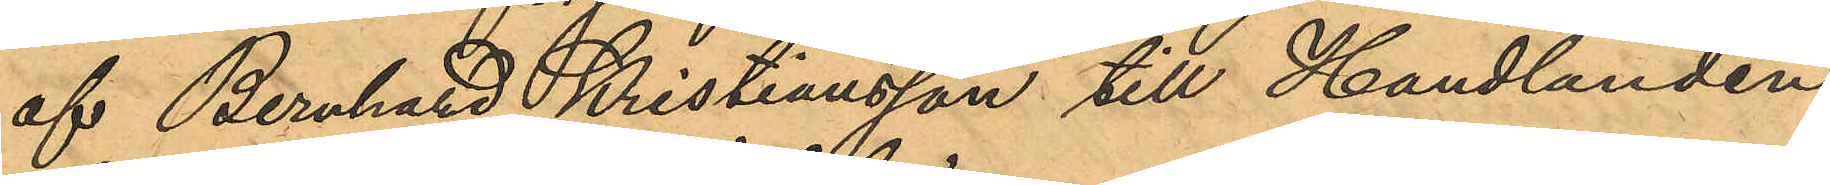af Bernhard Kristiansson till Handlanden
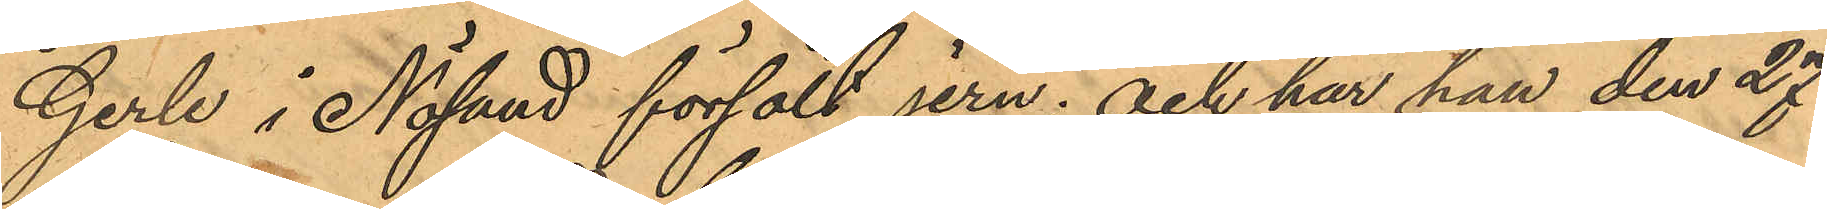Gerle i Nösund försålt jern; och har han den 27
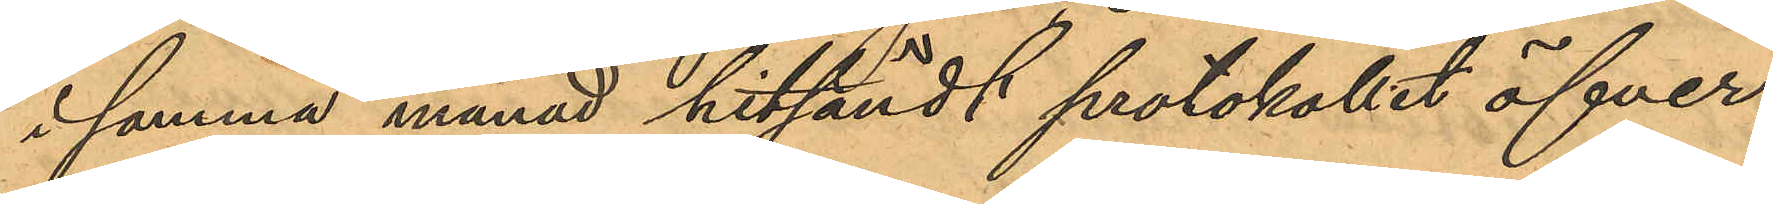i samma månad hitsändt protokollet öfver
